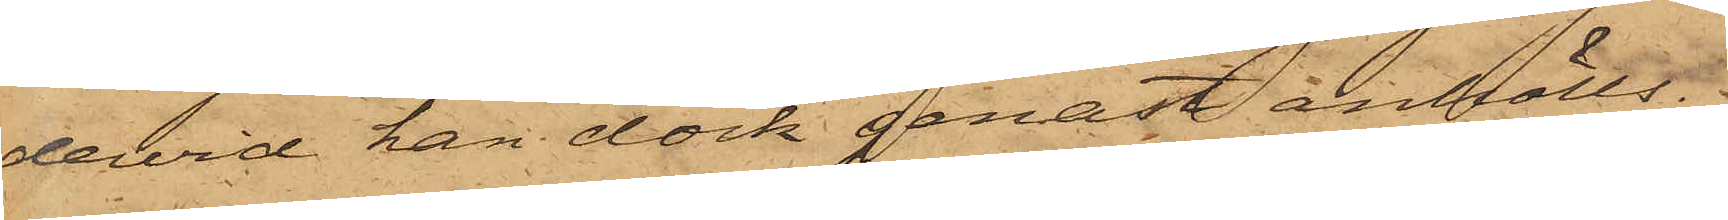dervid han dock genast anhölls.
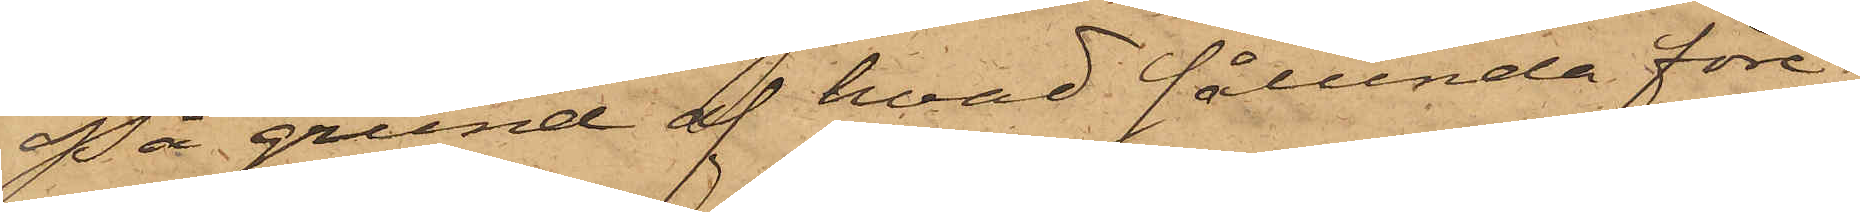På grund af hvad sålunda före¬
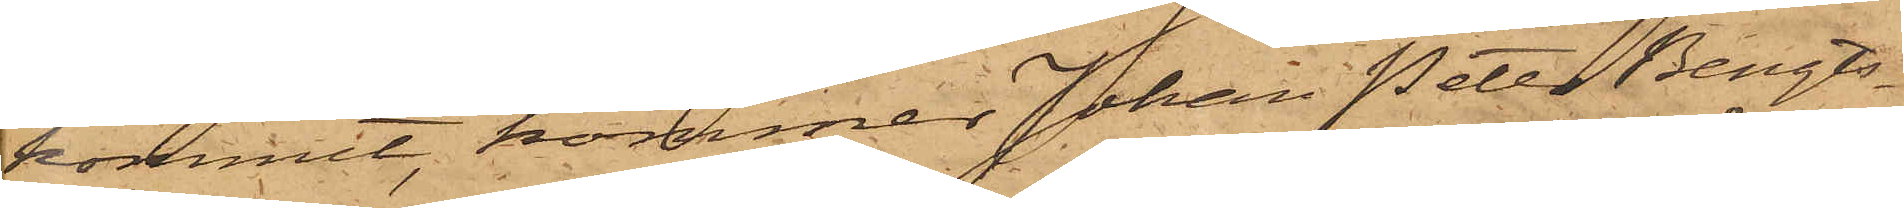kommit, kommer Johan Peter Bengts¬
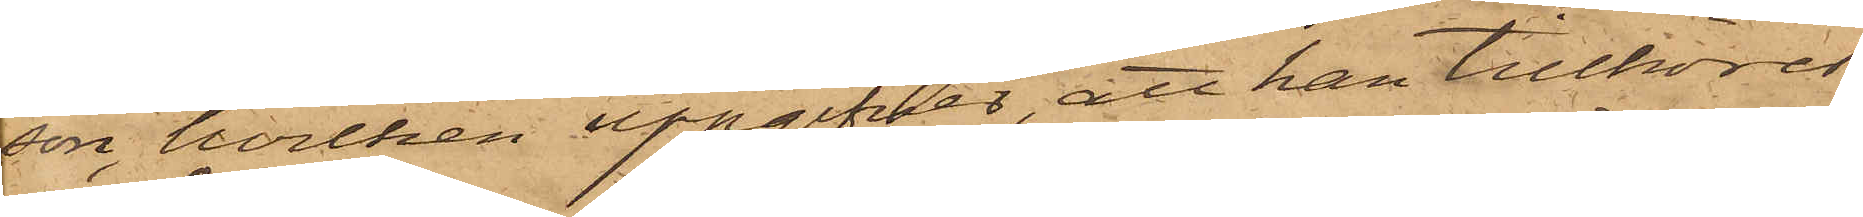son, hvilken uppgifver, att han tillhörer
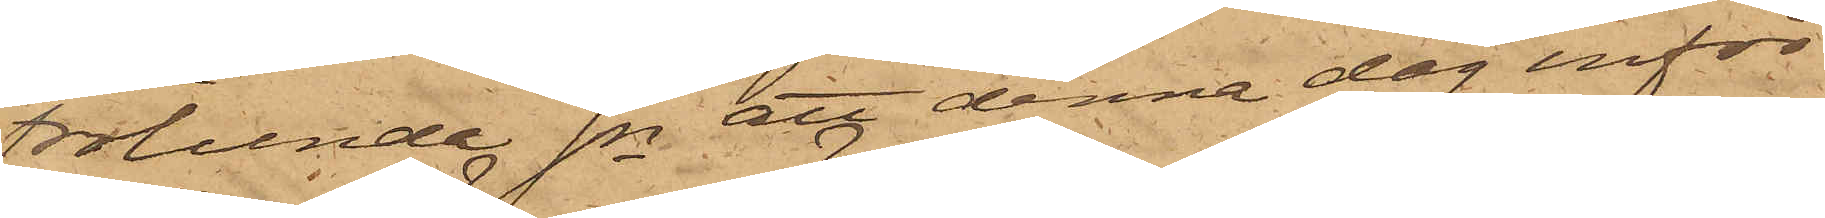Frölunda Sn att denna dag inför
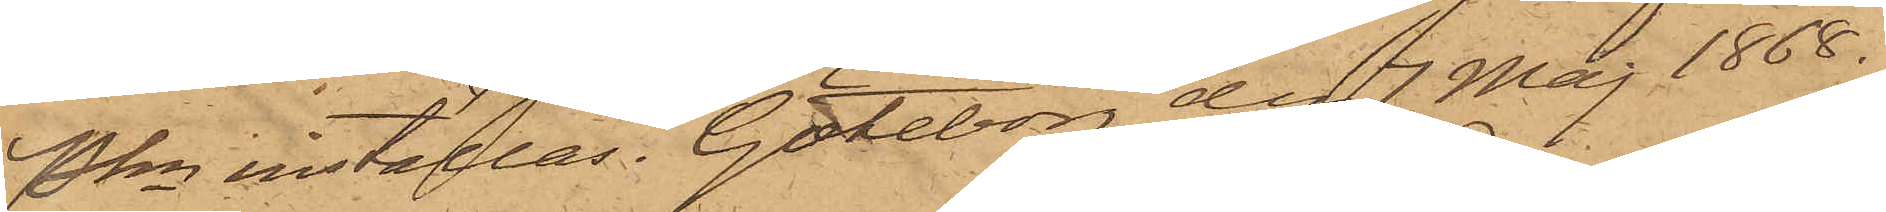Pkn inställas. Göteborg den 7 Maj 1868.
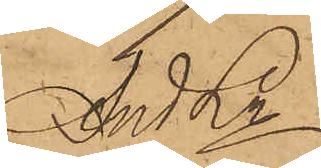And Ln
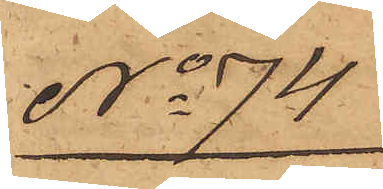No 74
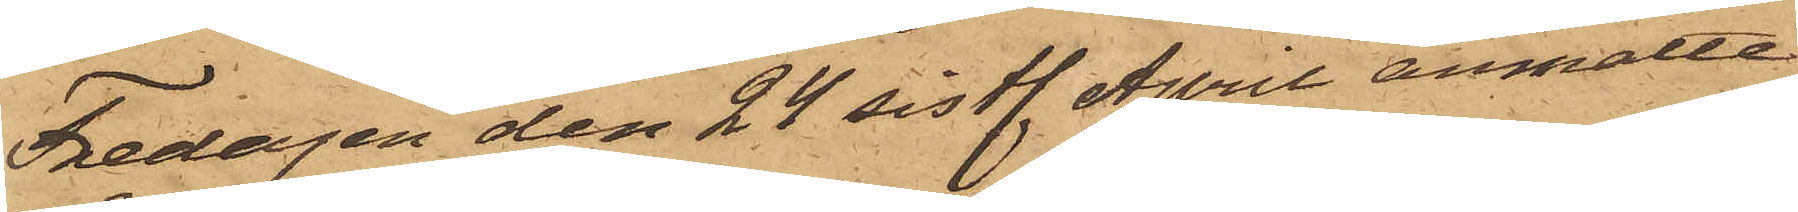Fredagen den 24 sistl. April anmälte
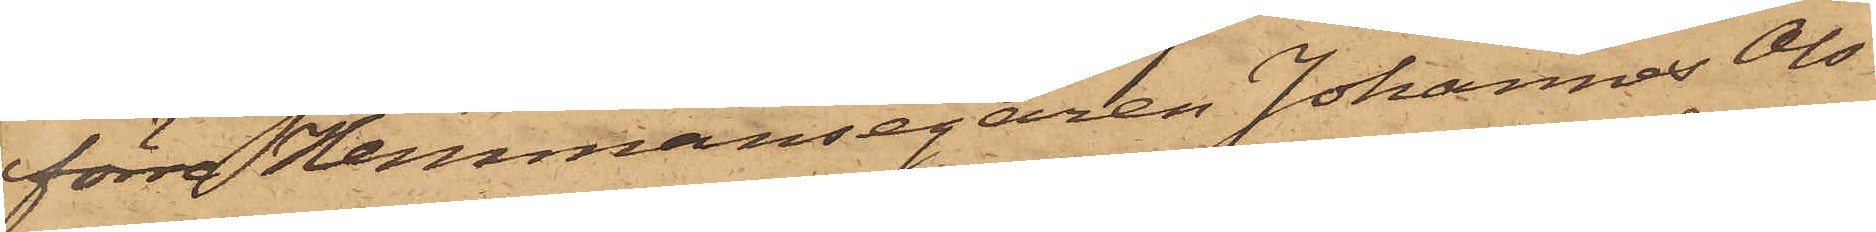förre Hemmansegaren Johannes Ols¬
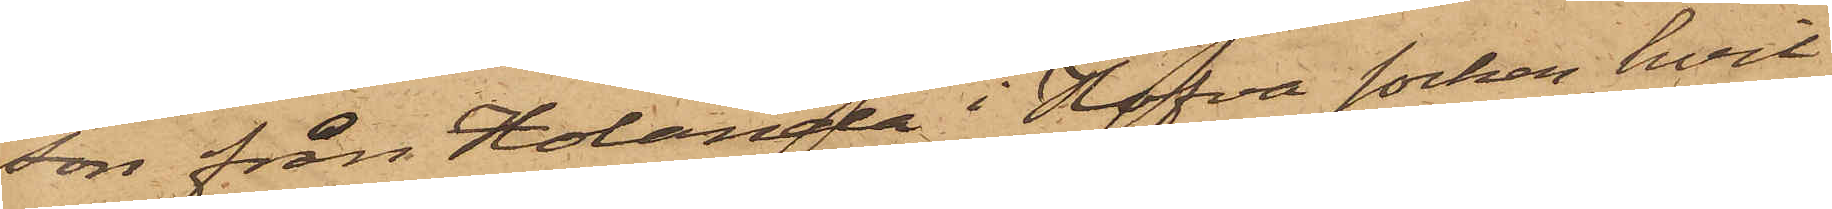son från Holanda i Hofva socken, hvil¬
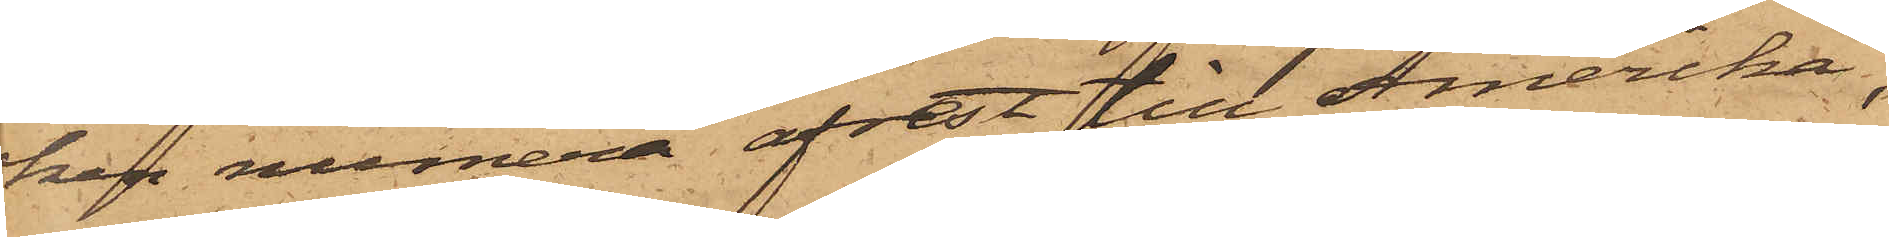ken numera afrest till Amerika,
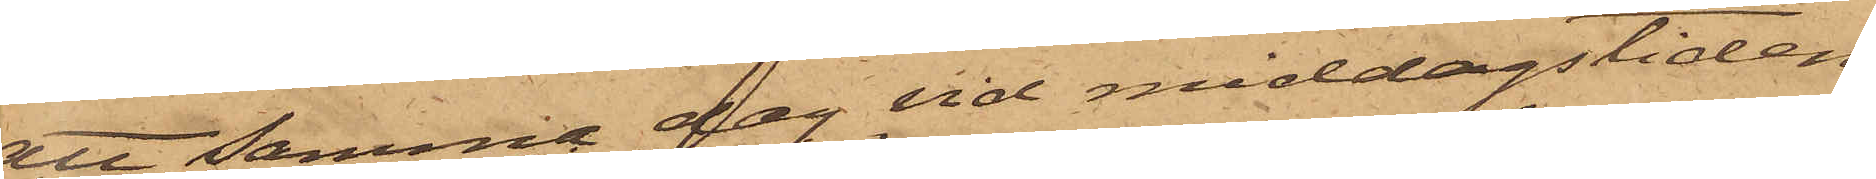att samma dag vid middagstiden
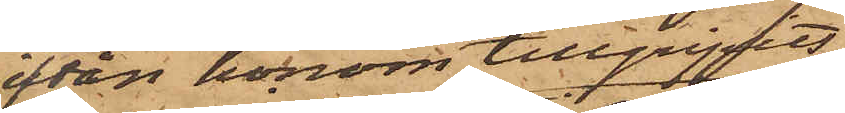ifrån honom tillgripits
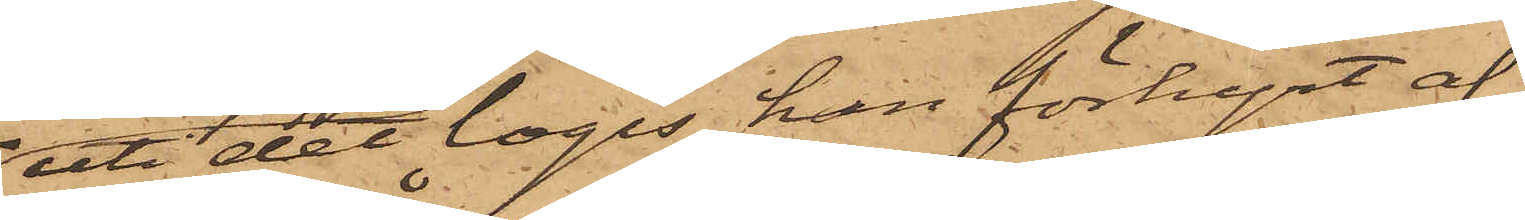uti det logis hon förhyrt af
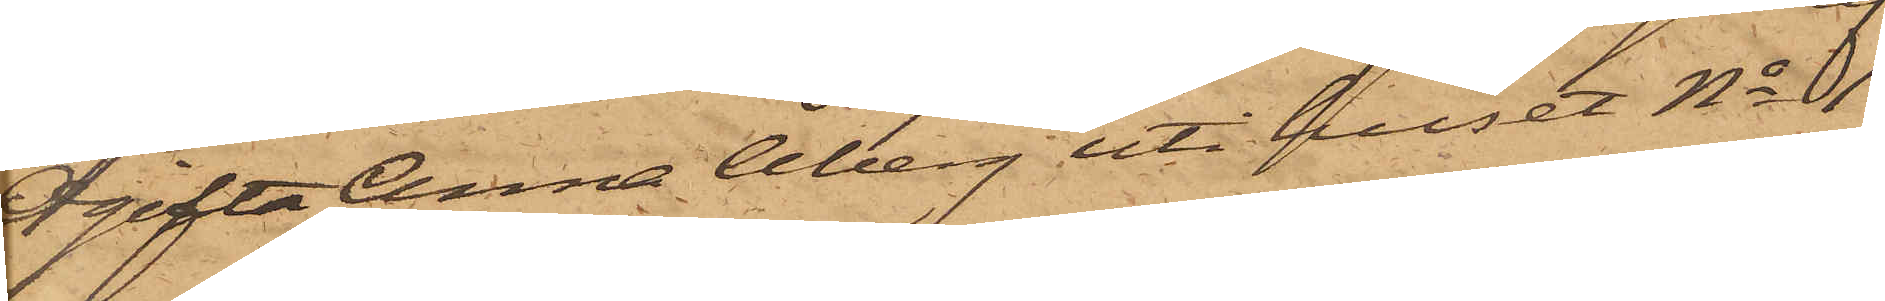Ogifta Anna Åberg uti huset No 1
